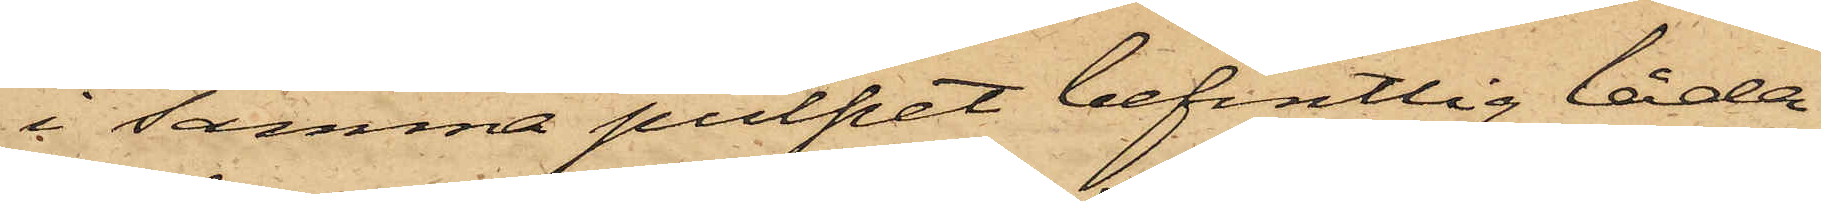i samma pulpet befintlig låda
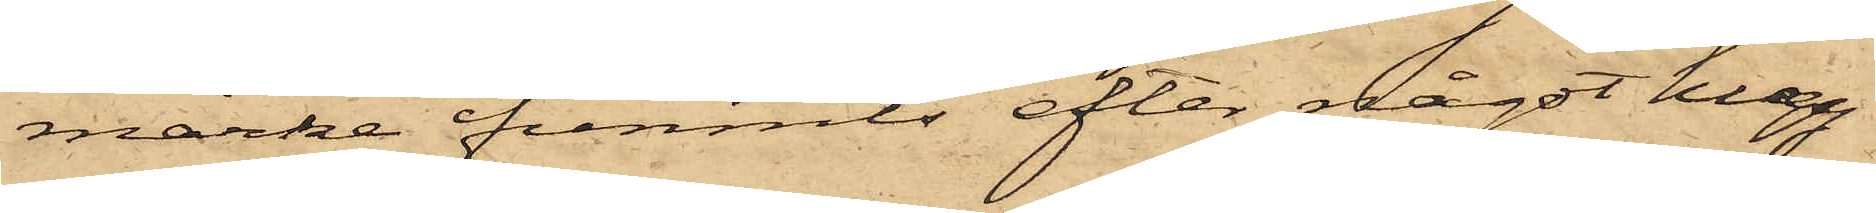märke funnits efter något hugg¬
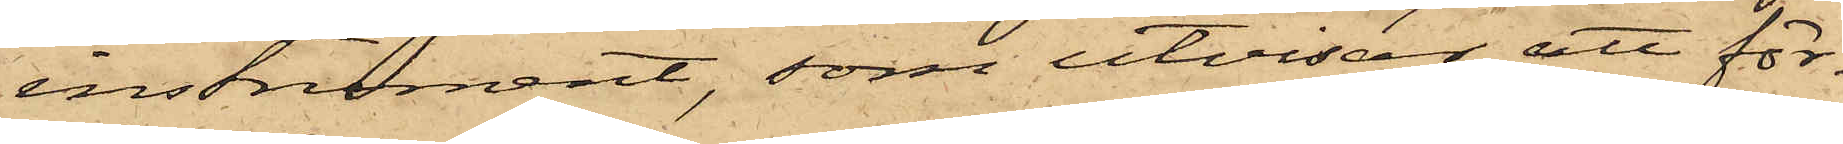instrument, som utvisar att för¬
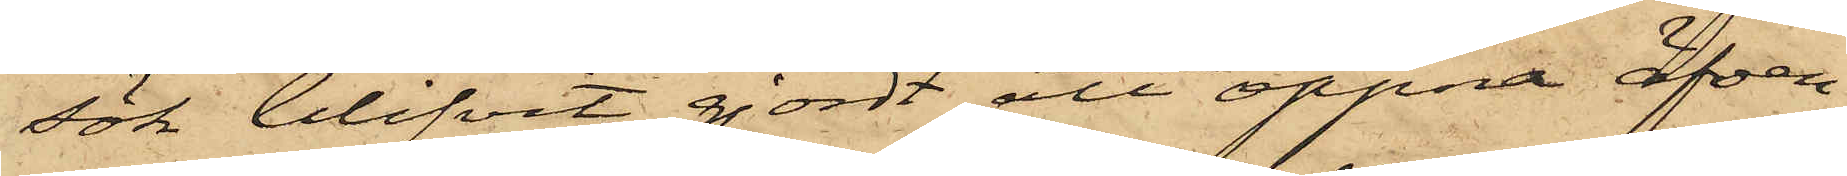sök blifvit gjordt att öppna äfven
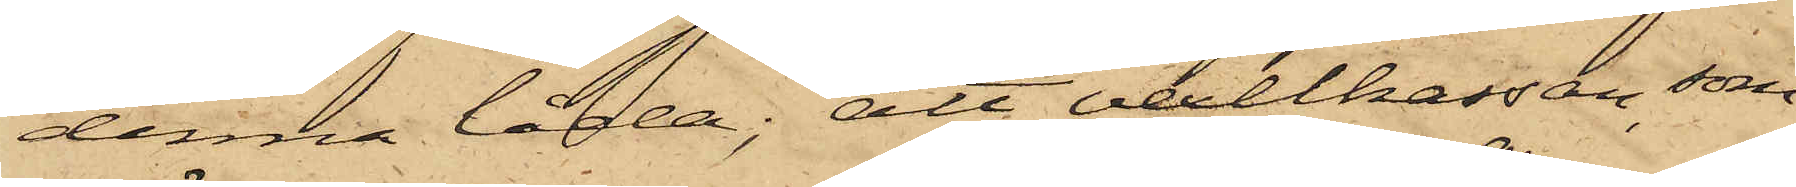denna låda; att vexelkassan, som
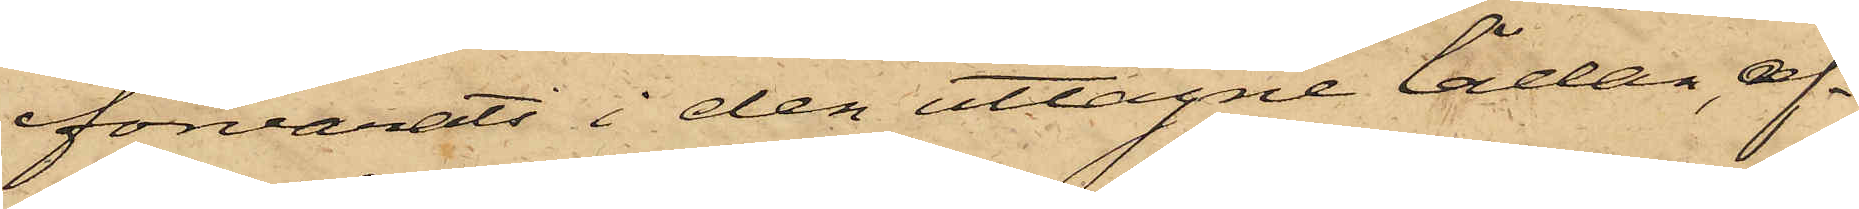förvarats i den uttagne lådan, af¬
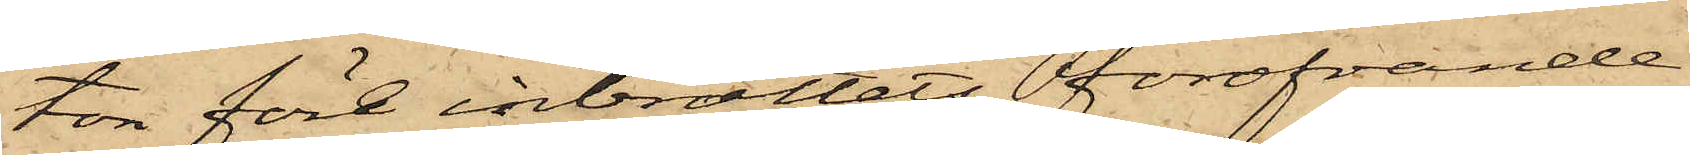ton före inbrottets föröfvande
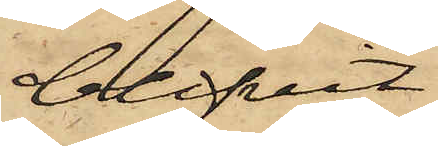blifvit
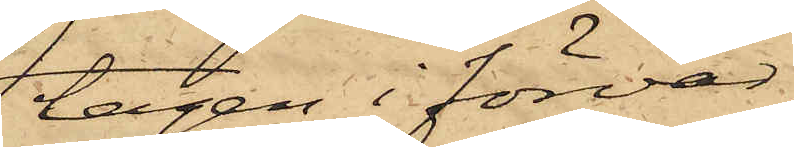tagen i förvar,
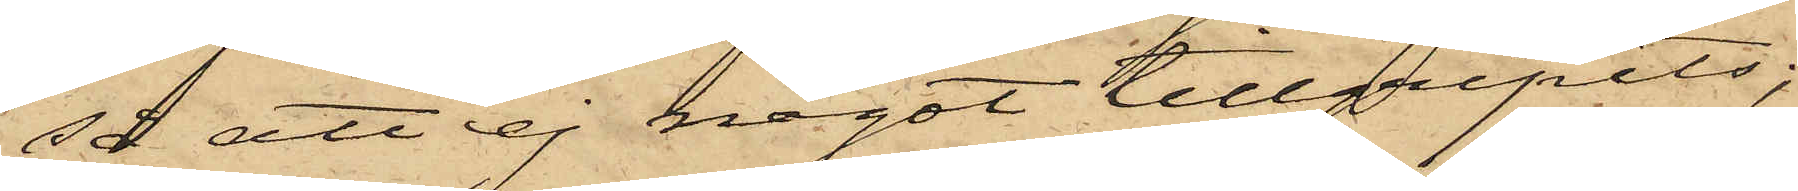så att ej något tillgripits;
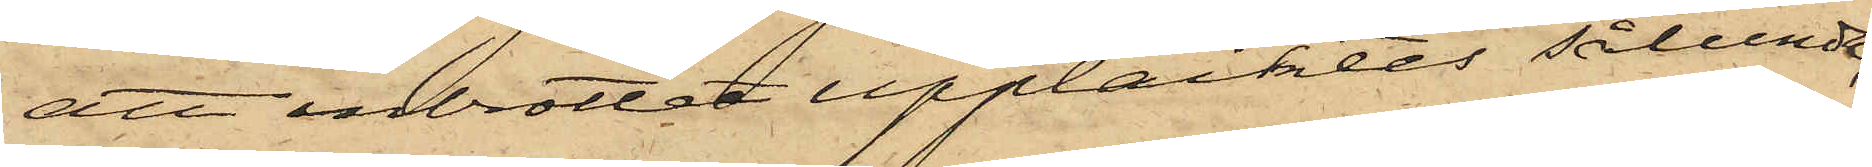att inbrottet upptäcktes sålunda,
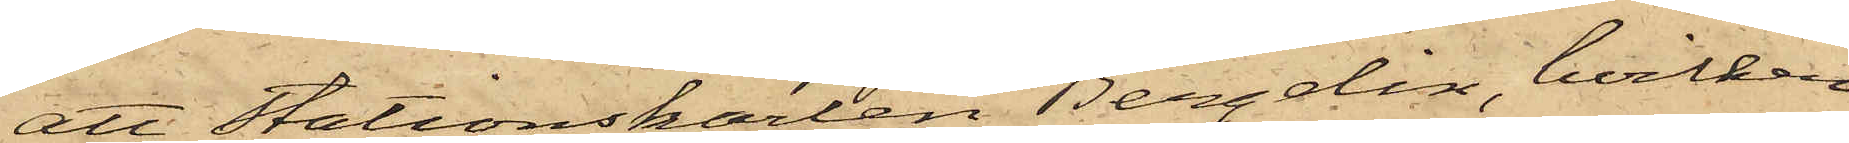att Stationskarlen Bergelin, hvilken
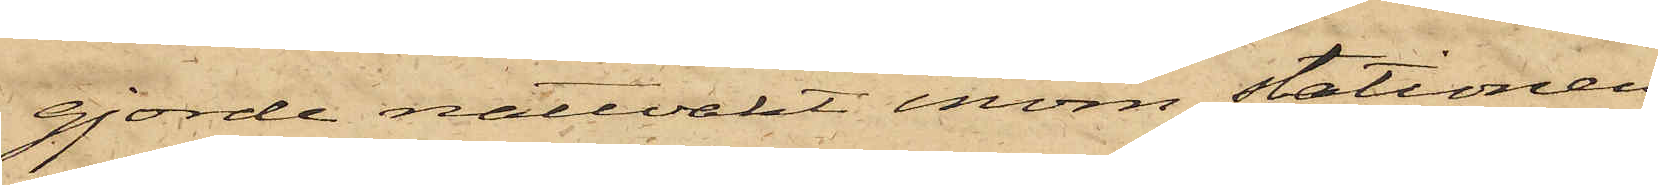gjorde nattvakt inom Stationen
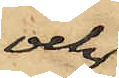och
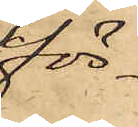för¬
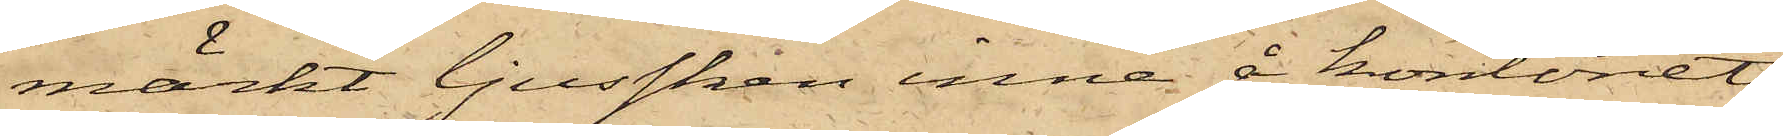märkt ljussken inne å kontoret
